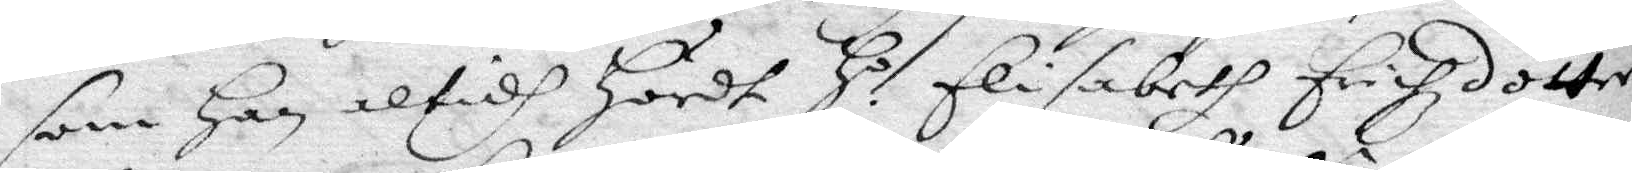som Han altidh Hördt H.o Elisabeth Erichzdotter 
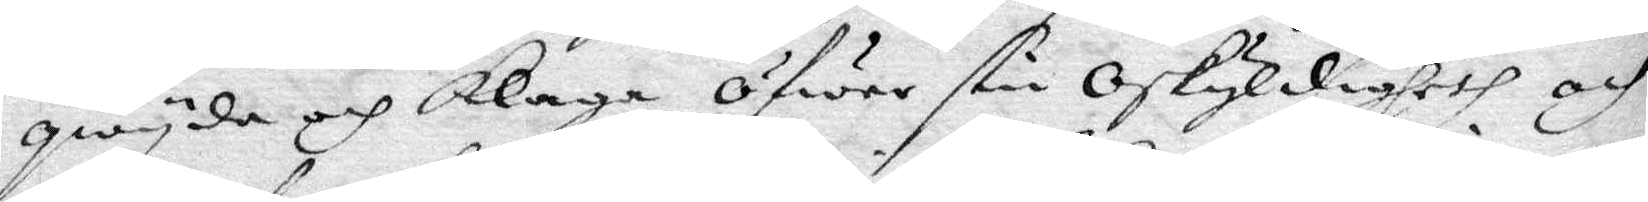qwyda och klaga öfwer sin Oskyldigheth och
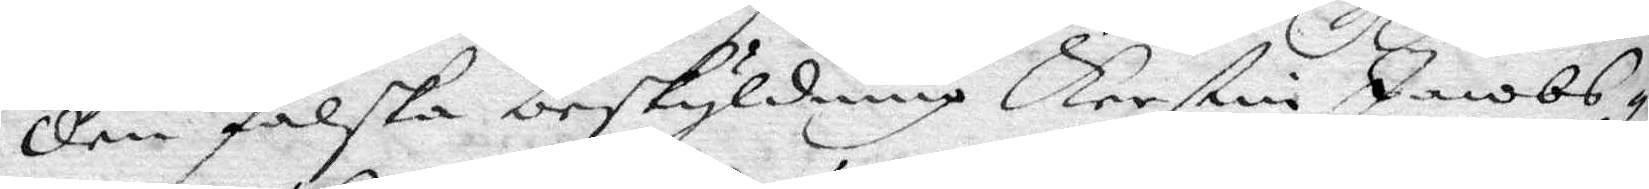den falska beskyldning Kerstin Jacobs¬
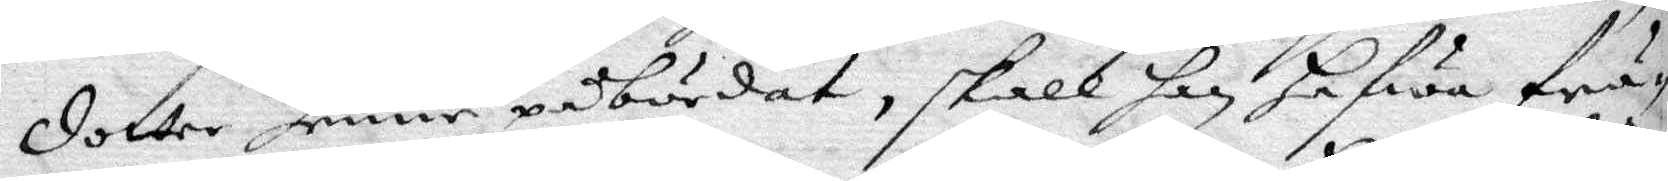dotter henne påbördat, skall han hafwa frå¬
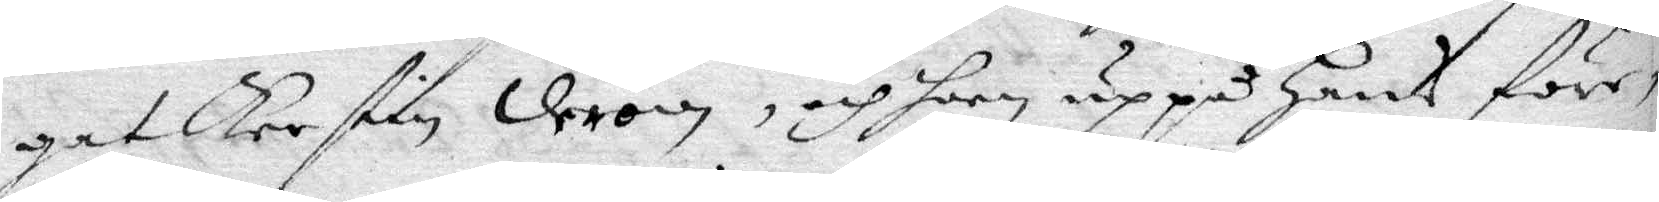gat Kerstin derom, och hoon uppå hans före¬
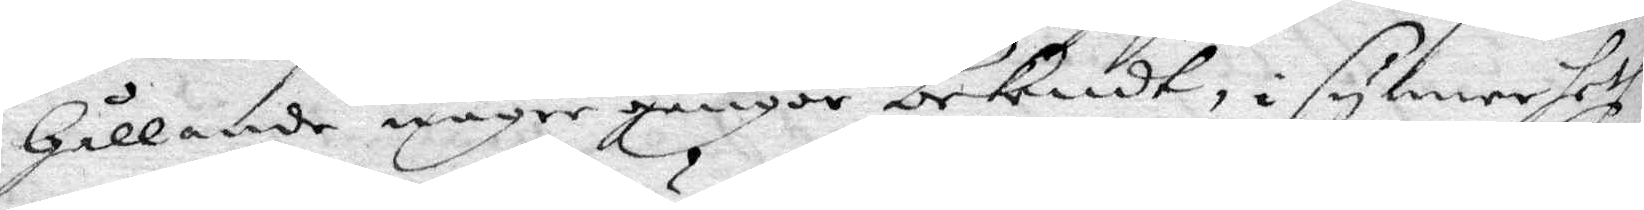hållande någre gånger bekendt, i synnerheth
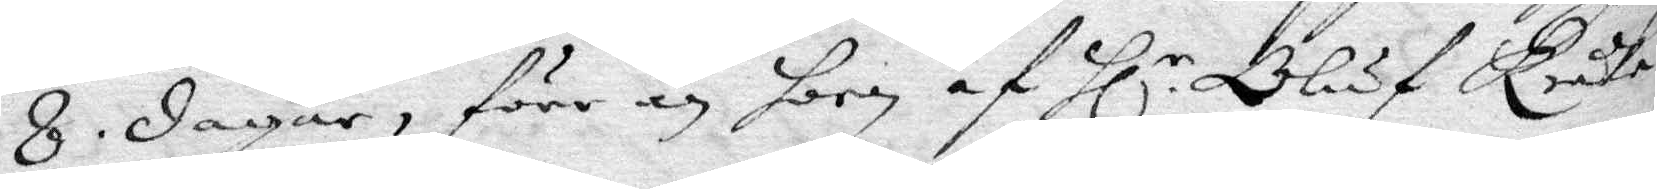8. dagar, förr än hoon af Hl.r Oluf Bråte 
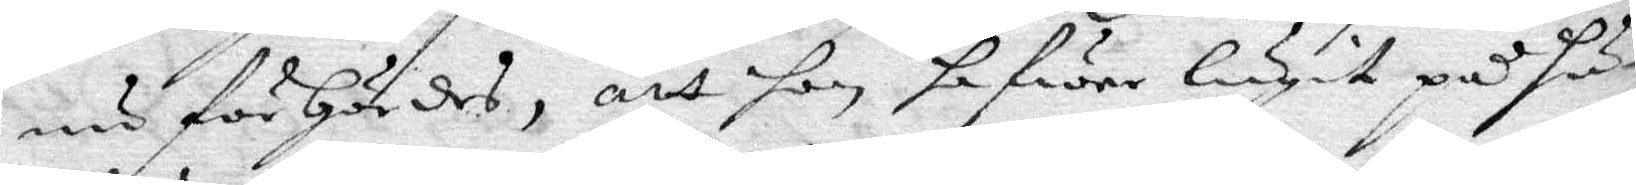nu förhördes, att hon hafwer lugit på hu¬
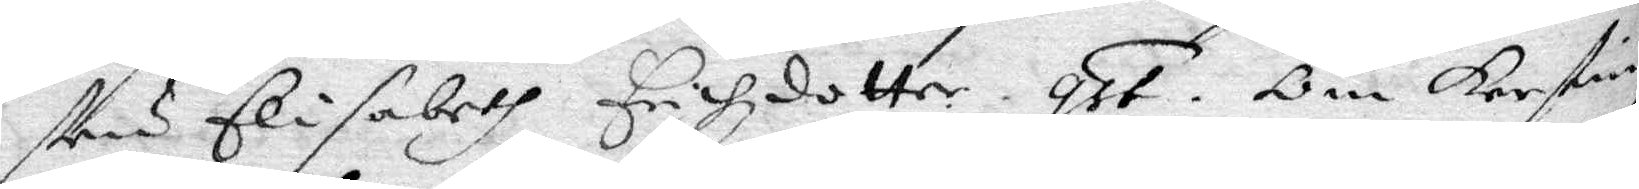stru Elisabeth Erichzdotter. qst. Om Kerstin 
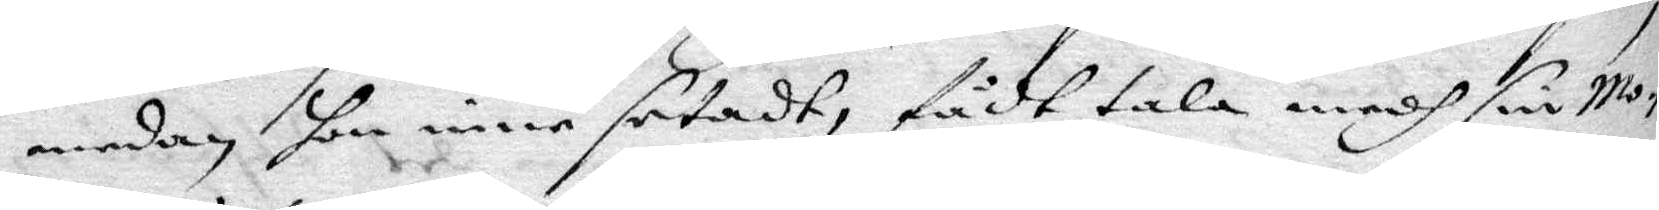medan hon inne setadt, fådt tala medh sin Mo¬
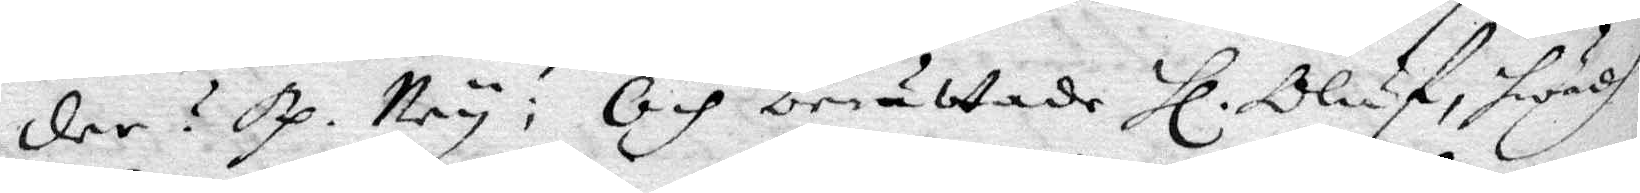der? Rp. Ney; Och berättade Hl. Oluf, hwadh 
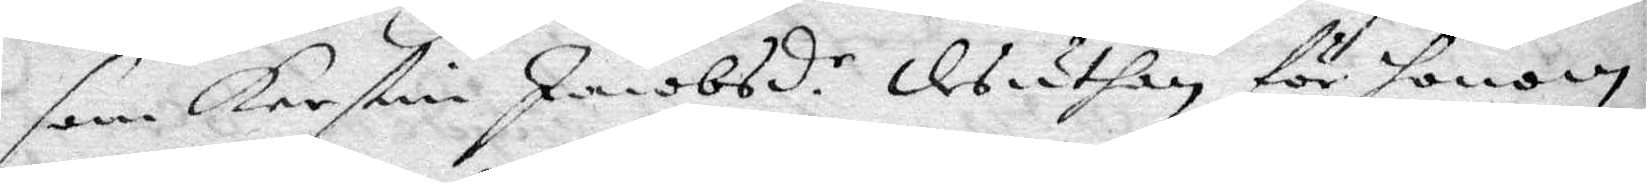som Kerstin Jacobsd.r desuthan för honom 
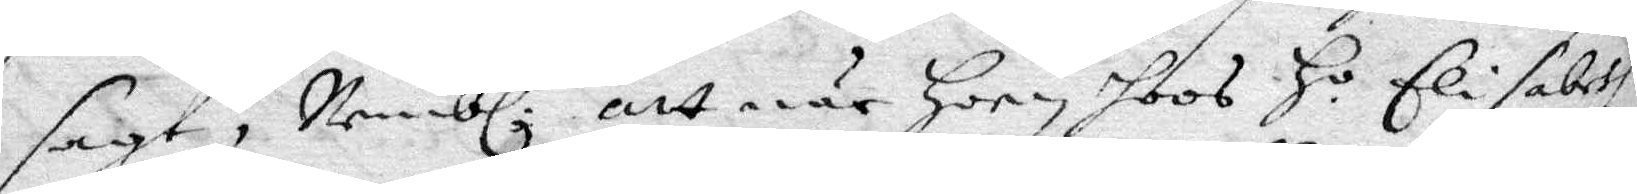sagt, Nembl. att när hoon hoos H.o Elisabeth 
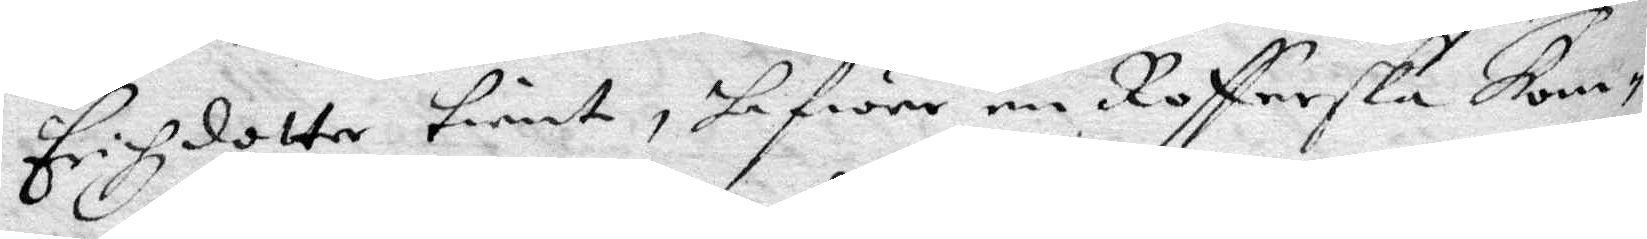Erichzdotter tient, hafwer en Rofferska kom¬
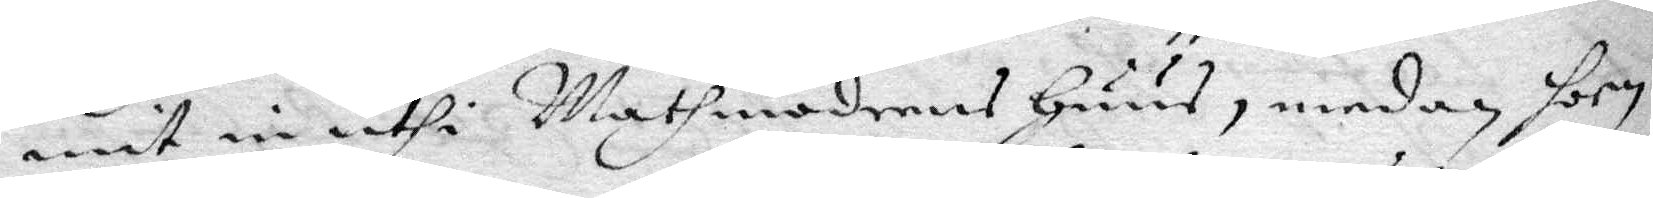mit in uthi Mathmodrens Huus, medan hoon
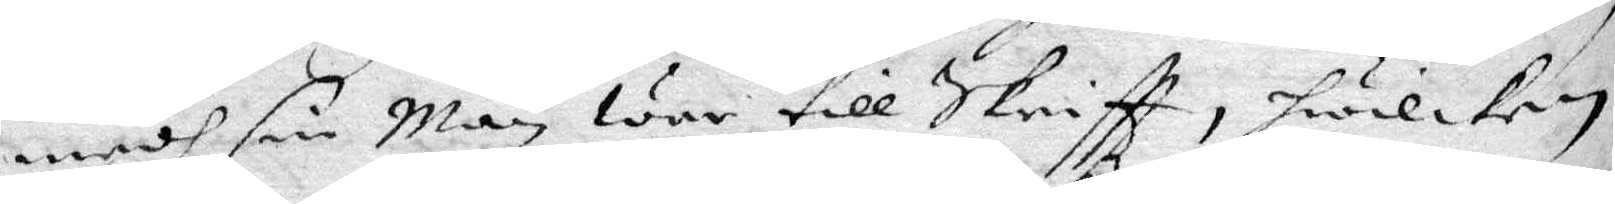medh sin Man war till Skriftt, hwilken
